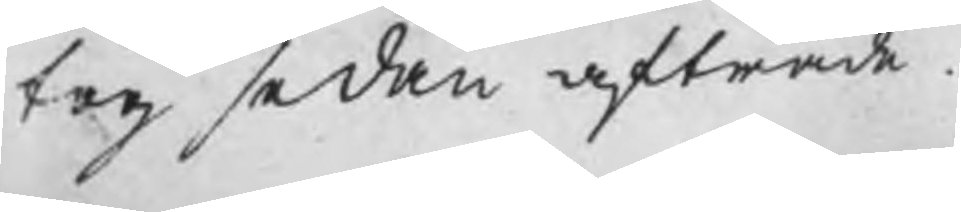tog sedan afträde.
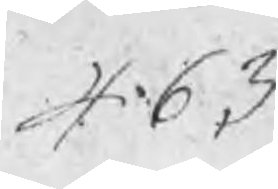463
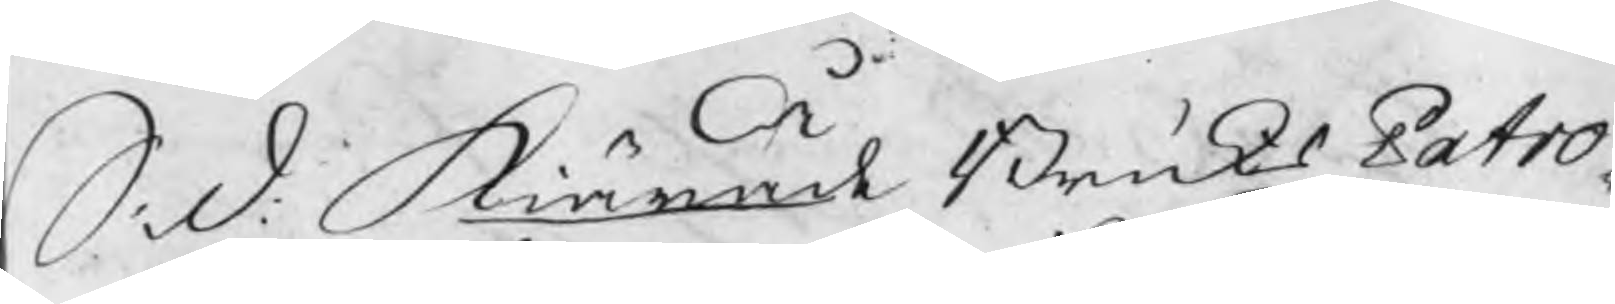S. d. Kiärade BruksPatro¬
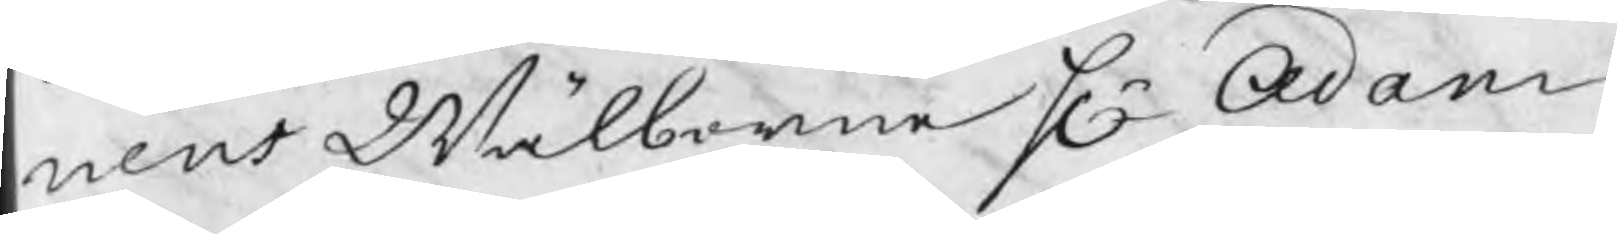nens Wälborne Hr Adam
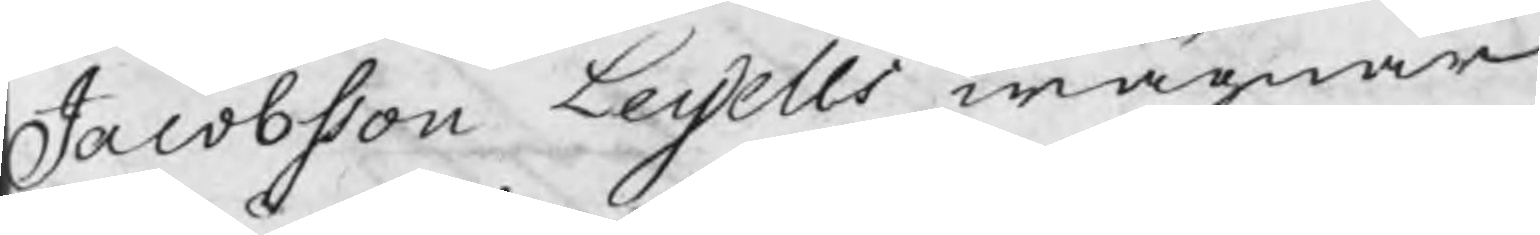Jacobsson Leijells wägnar
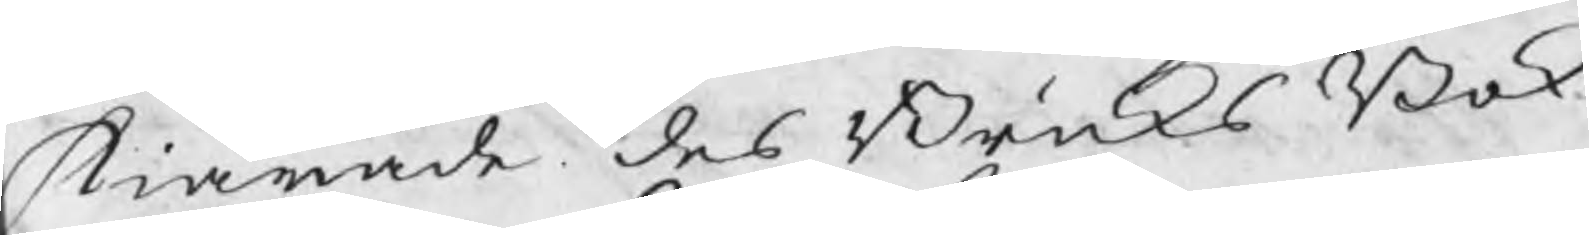kiärade des BruksBok¬
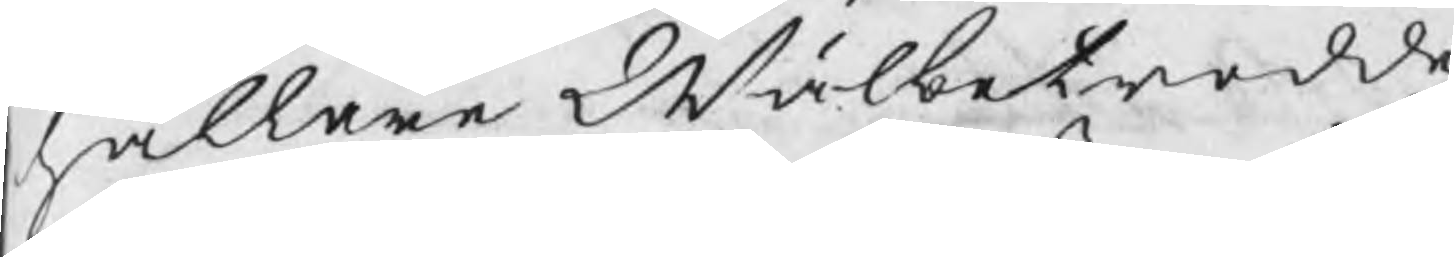hållare Wälbetrodde
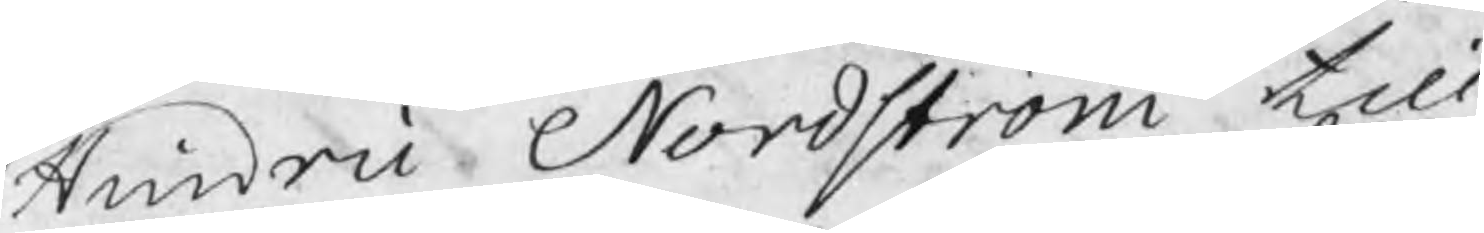Hindric Nordström till
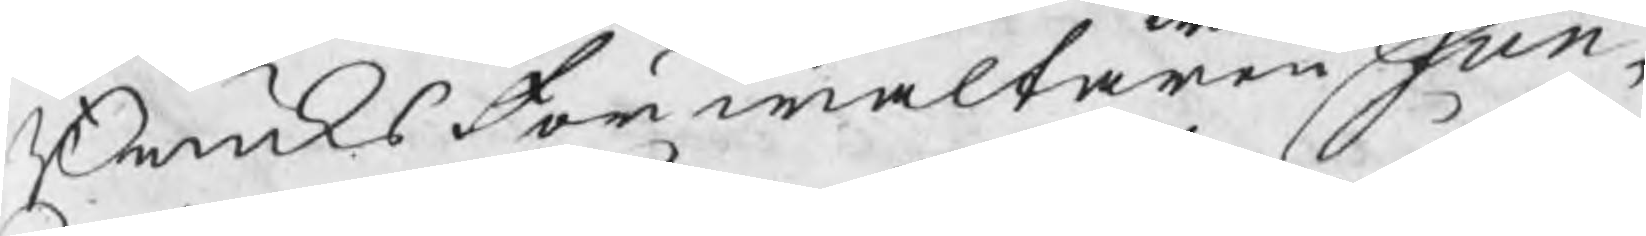Bruksförwaltaren Sun¬
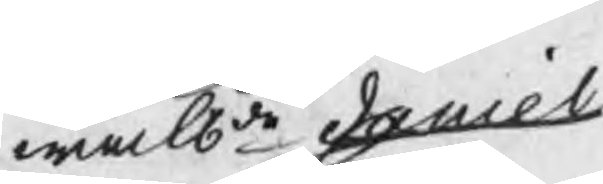wälbde daniel
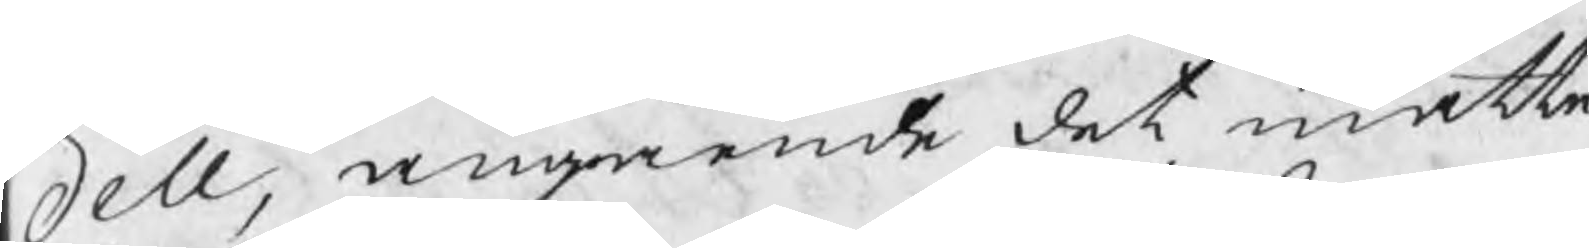dell, angående det måtte
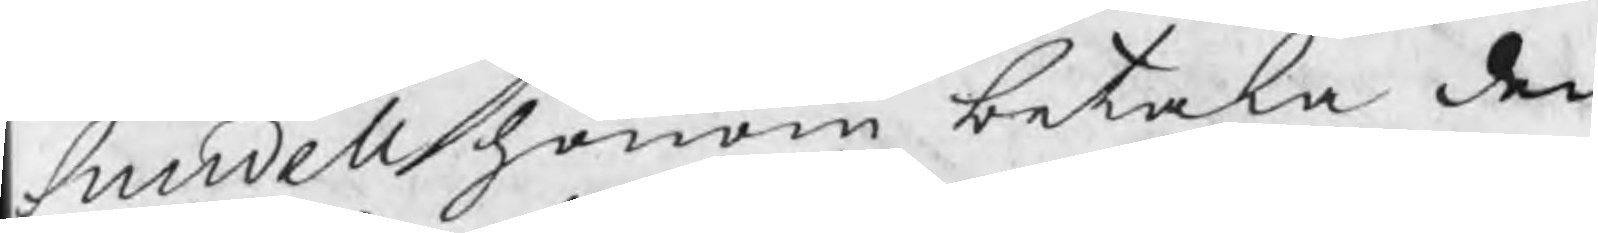Sundell honom betala den
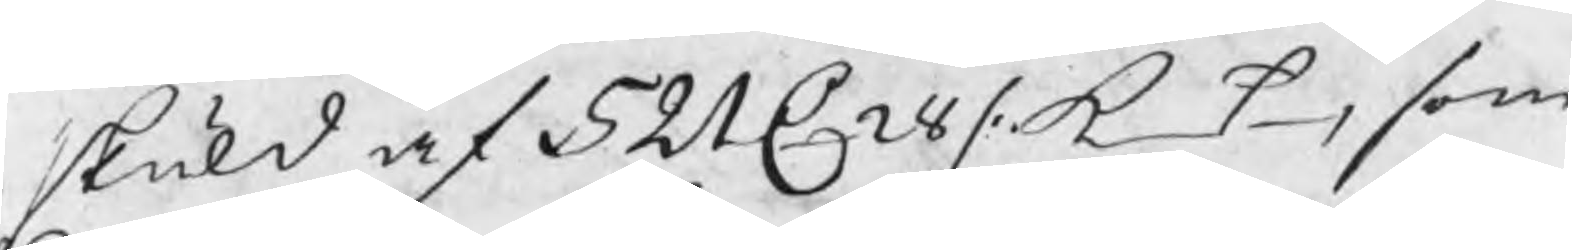skuld af 521 C 28 /. k_t, som
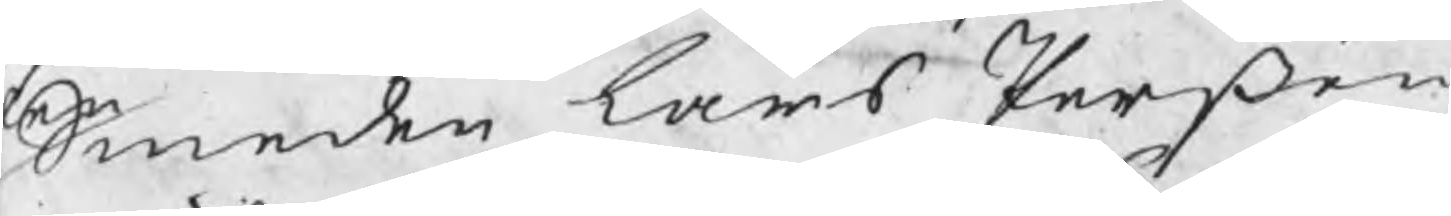Smeden Lars Perßon
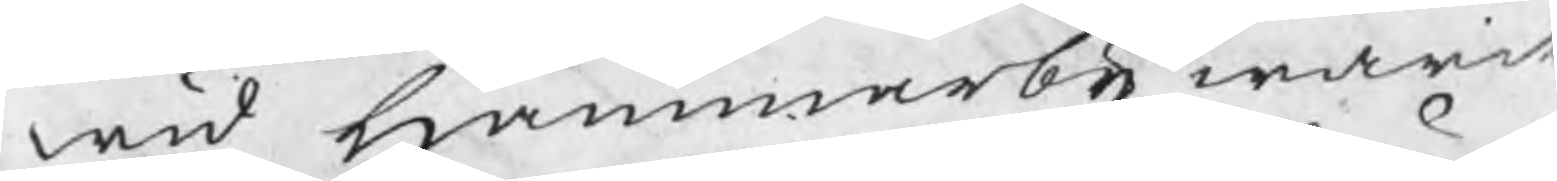wid Hammarby warit
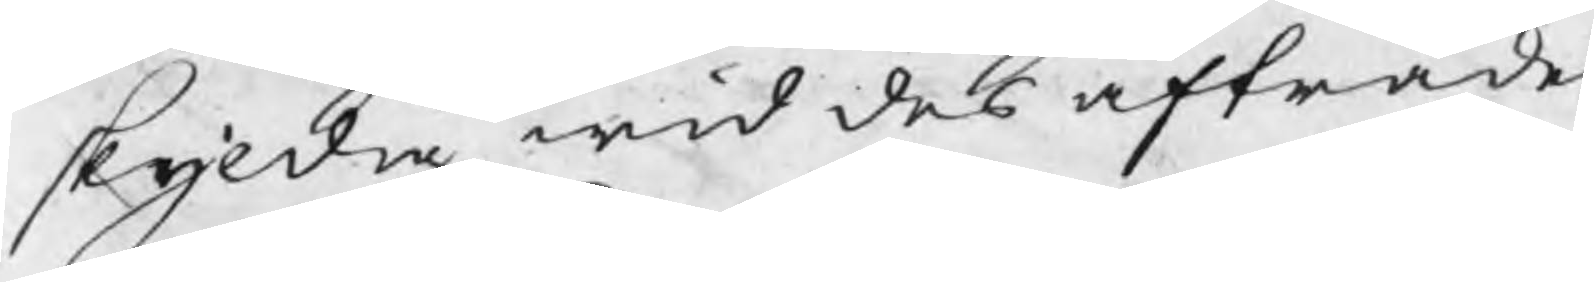skyldig, wid des afträde
